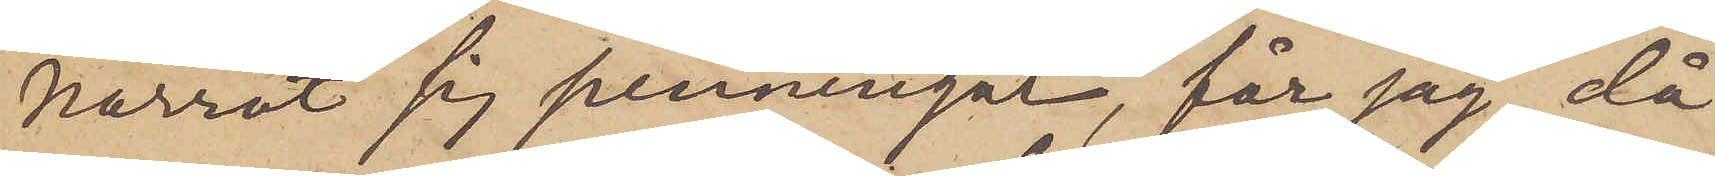narrat sig penningar, får jag, då
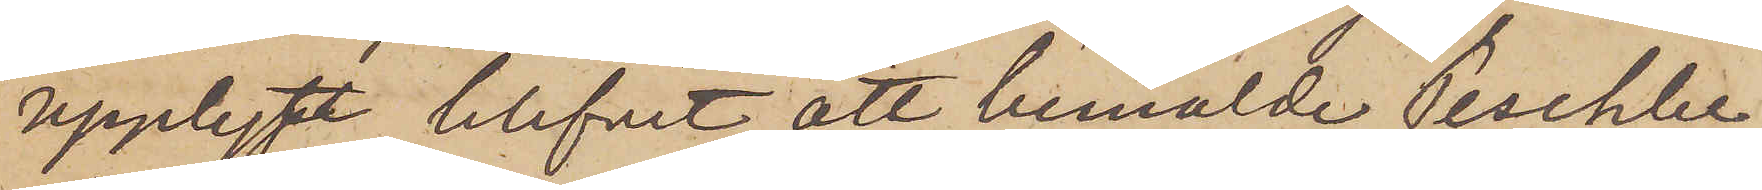upplyst blifvit att bemälde Peschler
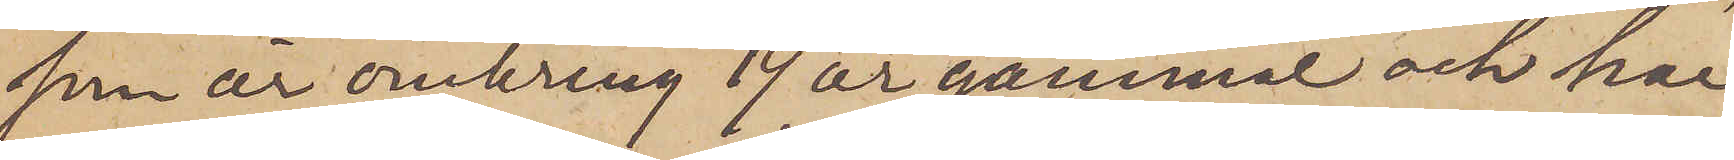som är omkring 19 år gammal och har
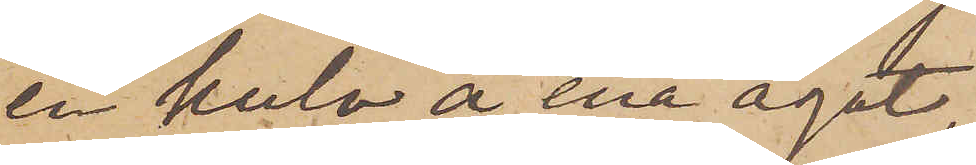en kula å ena ögat,
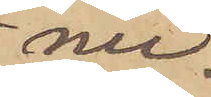nu¬
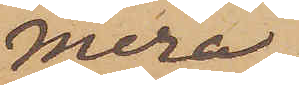mera
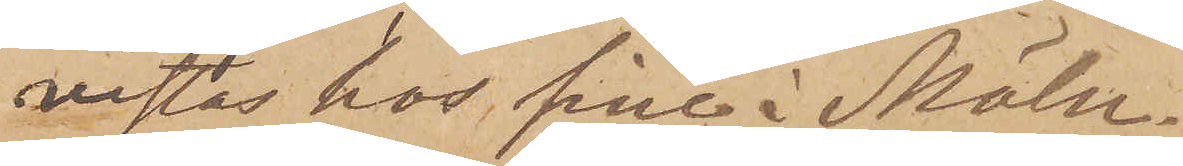vistas hos sine i Möln¬
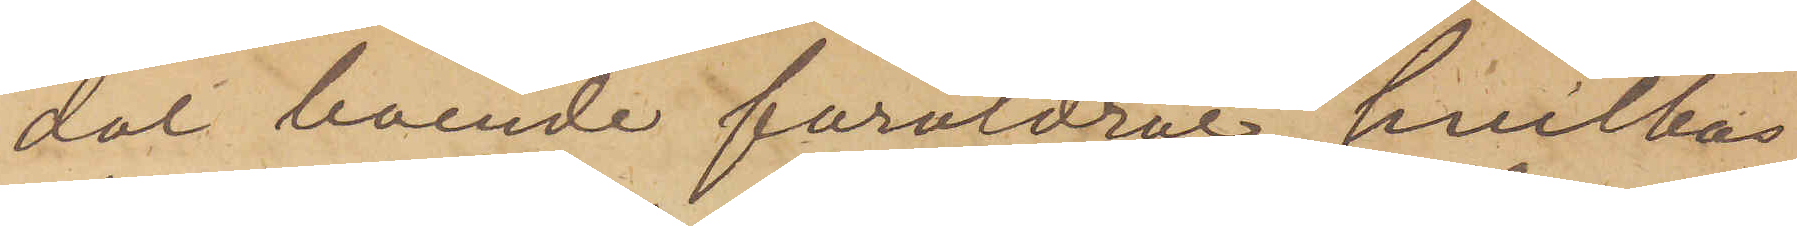dal boende föräldrar, hvilkas
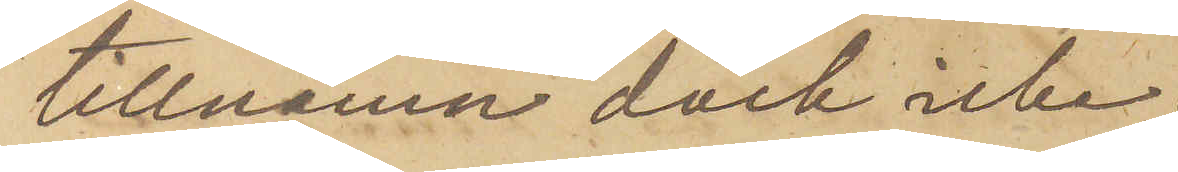tillnamn dock icke
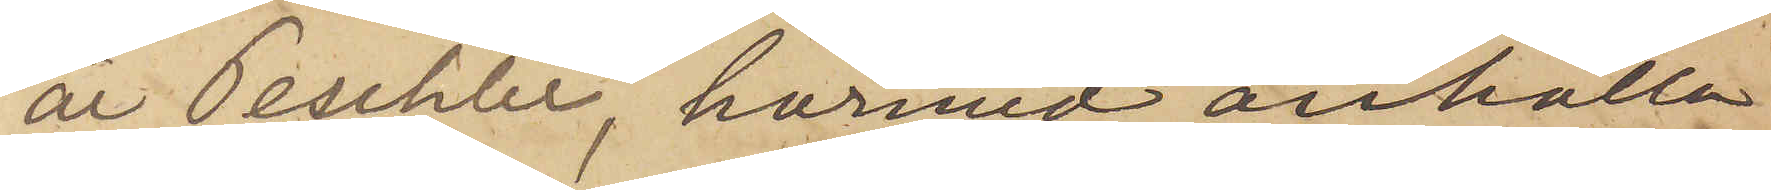är Peschler, härmed anhålla
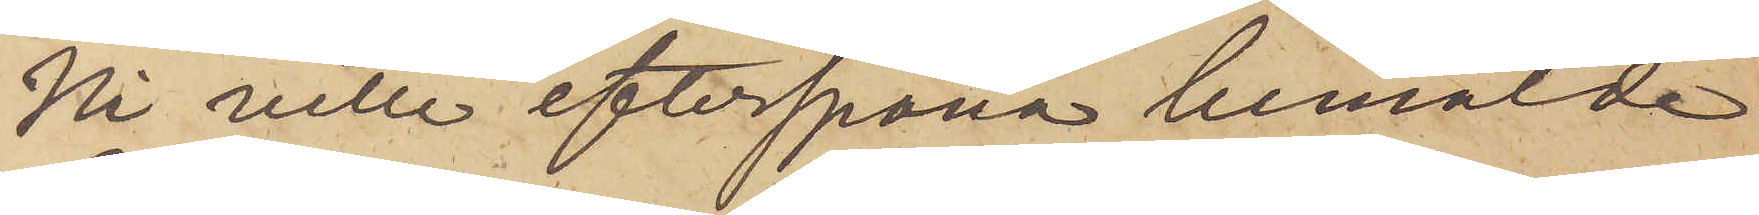Ni ville efterspana bemälde
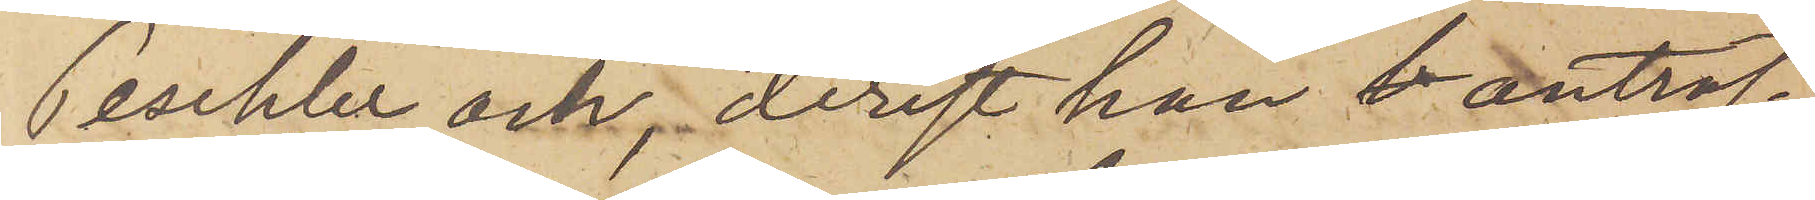Peschler och, derest han b anträf¬
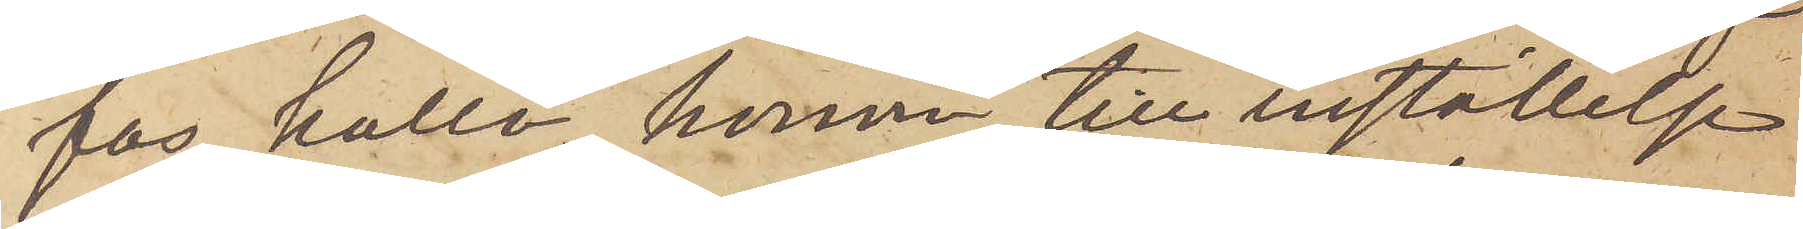fas, kalla honom till inställelse
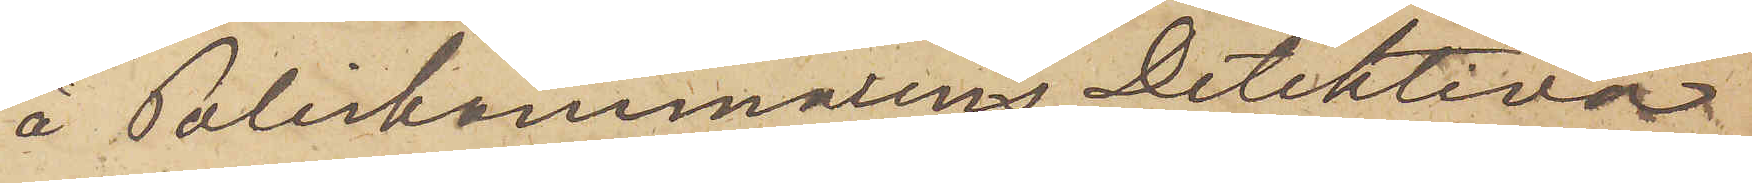å Poliskammarens Detektiva
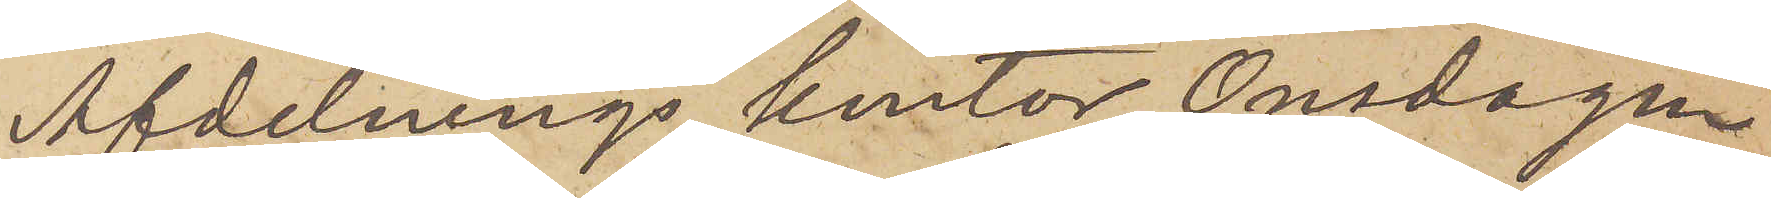Afdelnings kontor Onsdagen
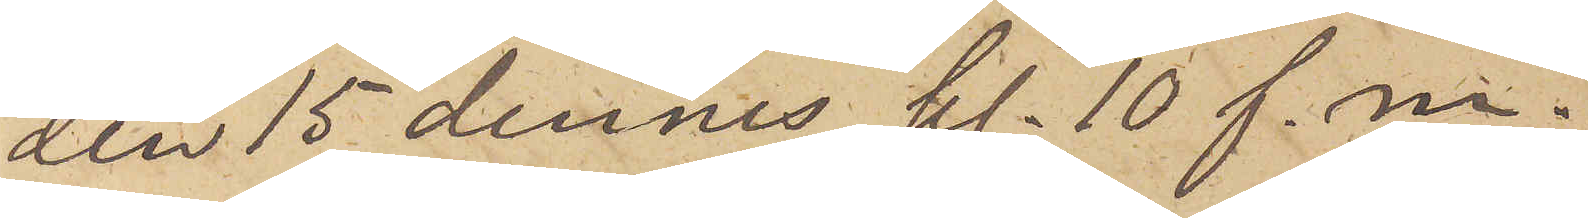den 15 dennes, kl. 10 f. m.
